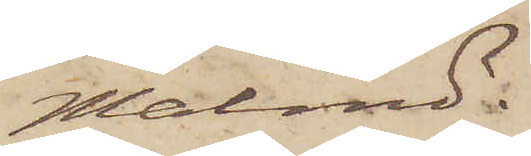Malmö.
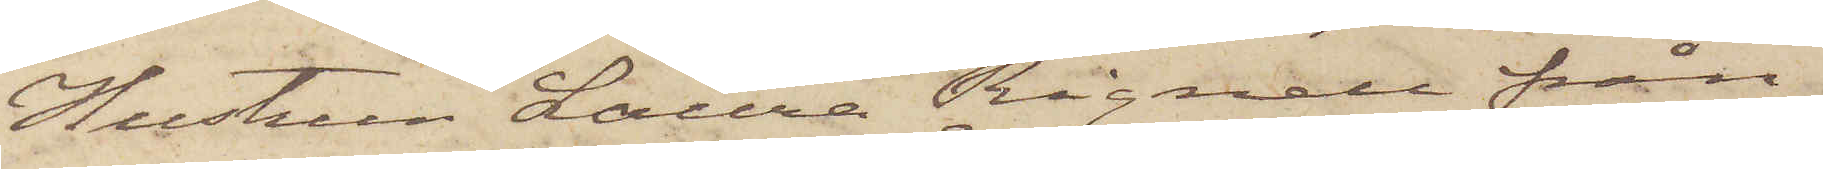Hustrun Laura Rignell från
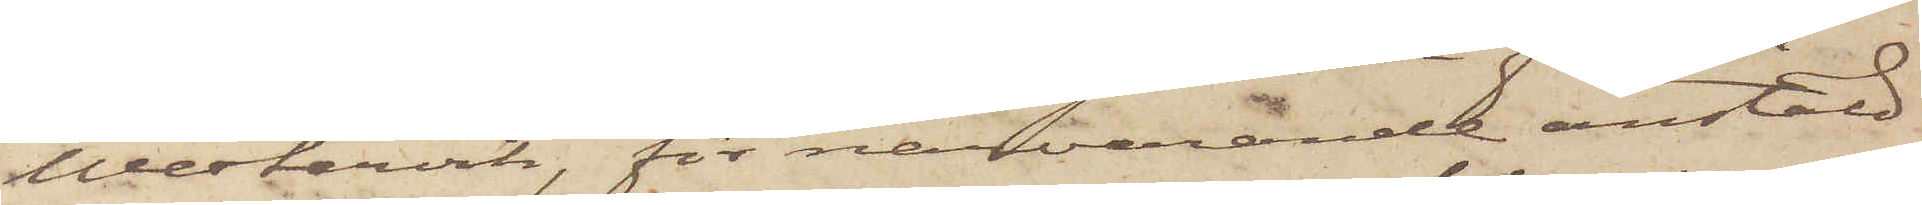Westervik, för närvarande anstäld
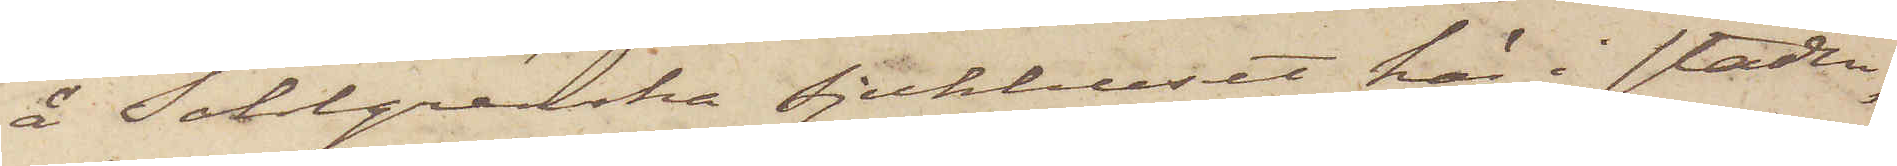å Sahlgrenska sjukhuset här i staden,
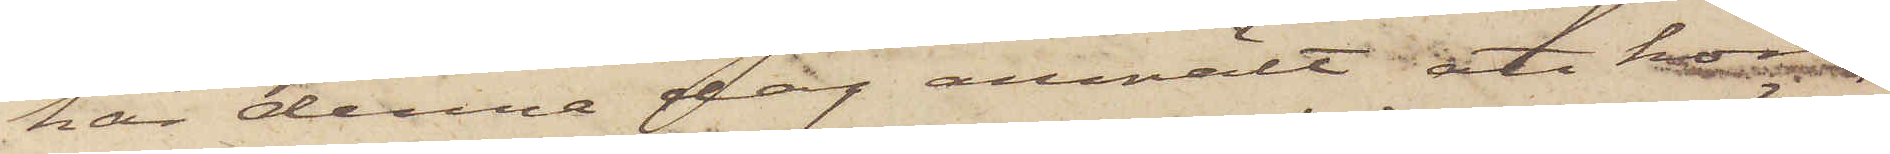har denna dag anmält att hon,
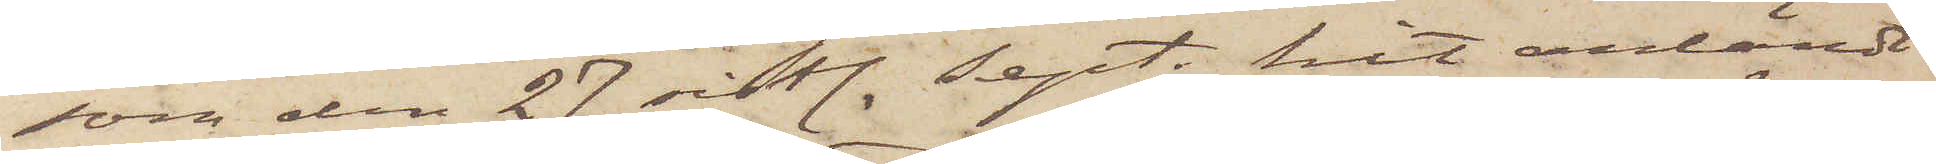som den 27 sistl. Sept. hit anländt
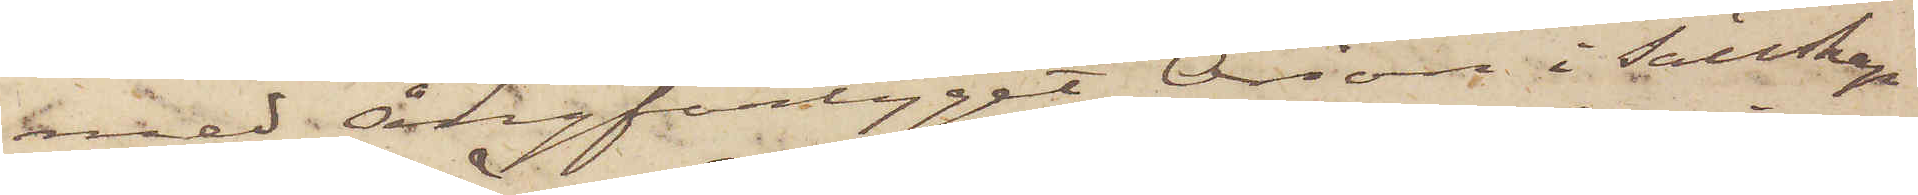med ångfartyget Orion i Sällskap
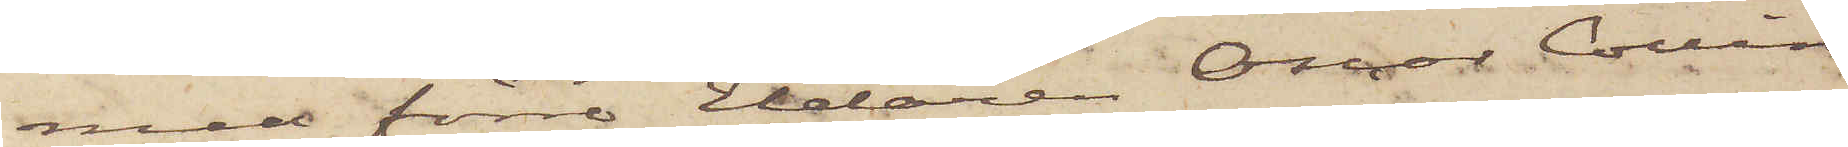med förre Eldaren Oscar Collin
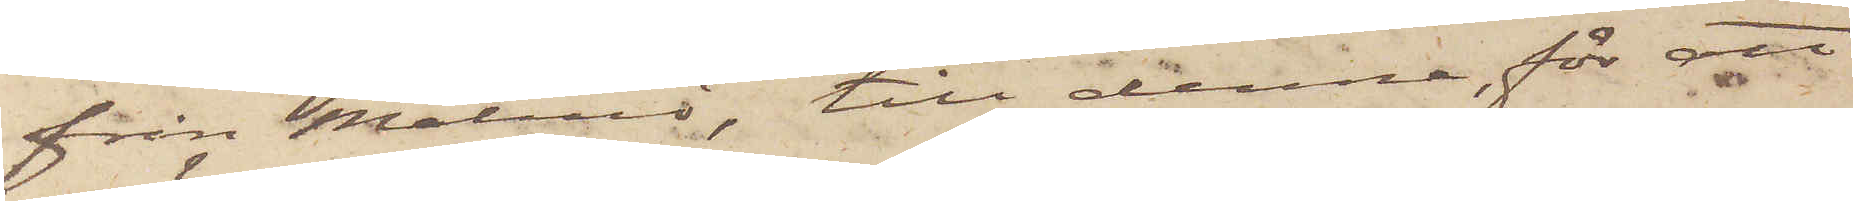från Malmö, till denna, för att
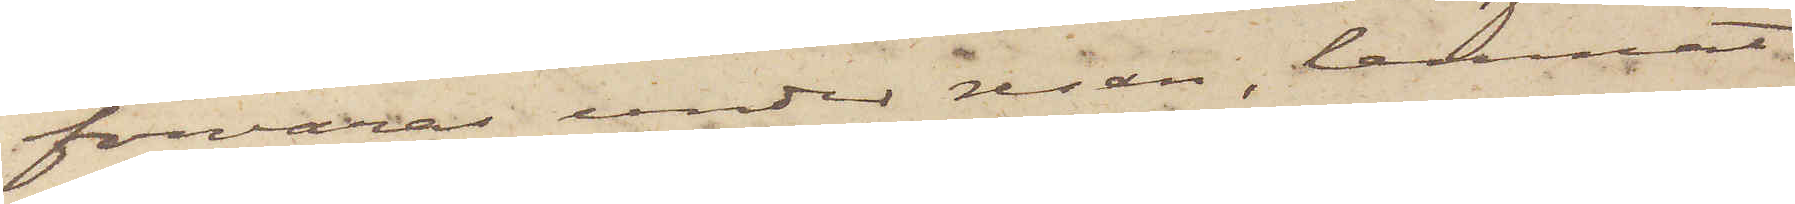förvaras under resan, lemnat
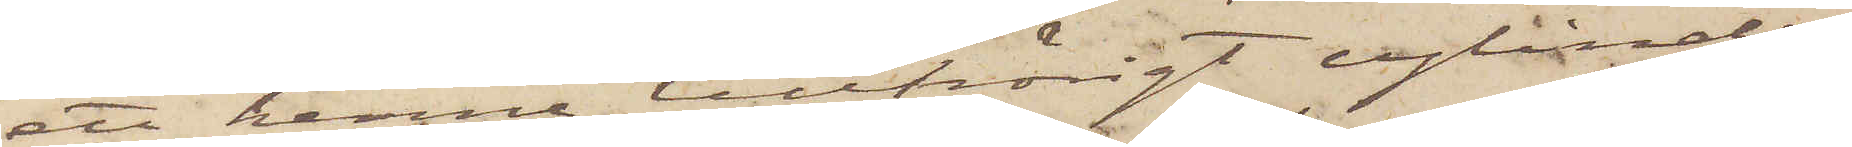ett henne tillhörigt cylinder¬
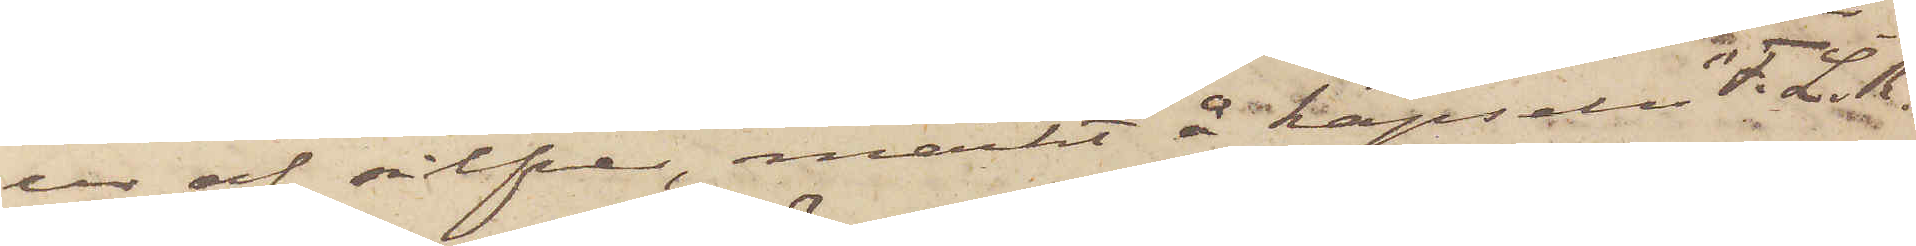ur af silfver, märkt å kapseln "F. L. R."
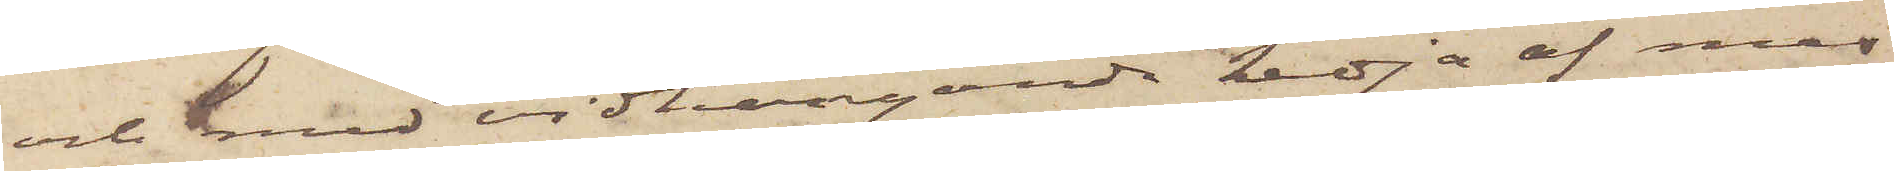och med vidhängande kedja af mes¬
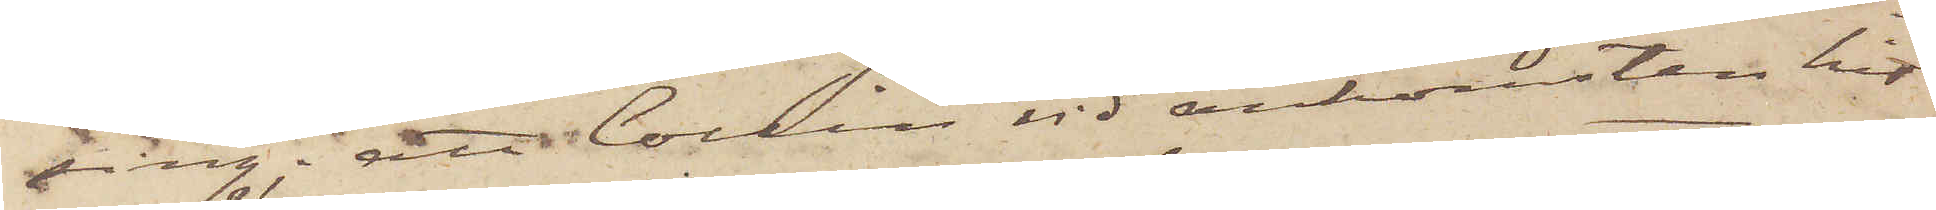sing; att Collin, vid ankomsten hit
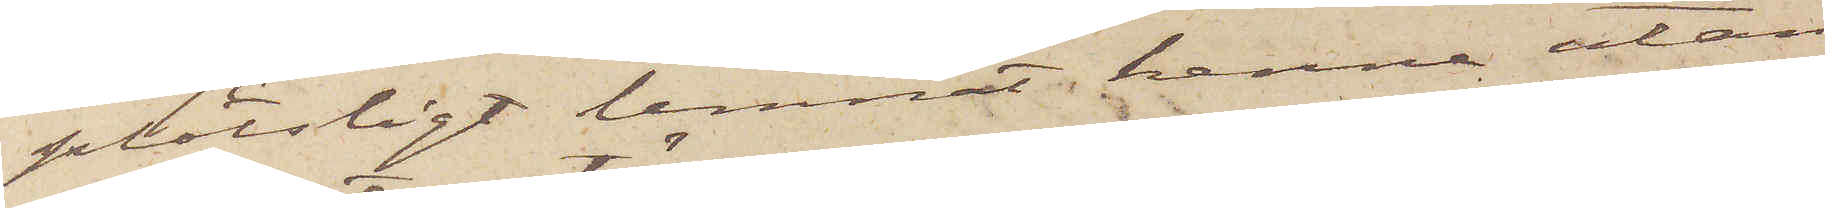plötsligt lemnat henne utan
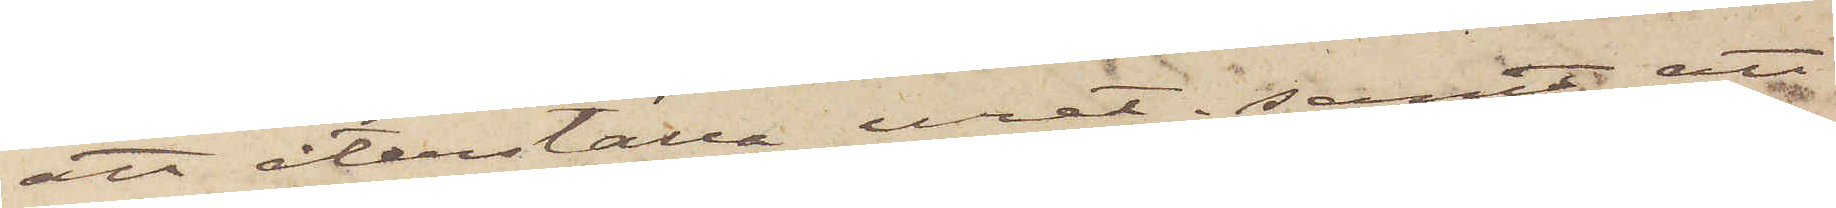att återställa uret; samt att
